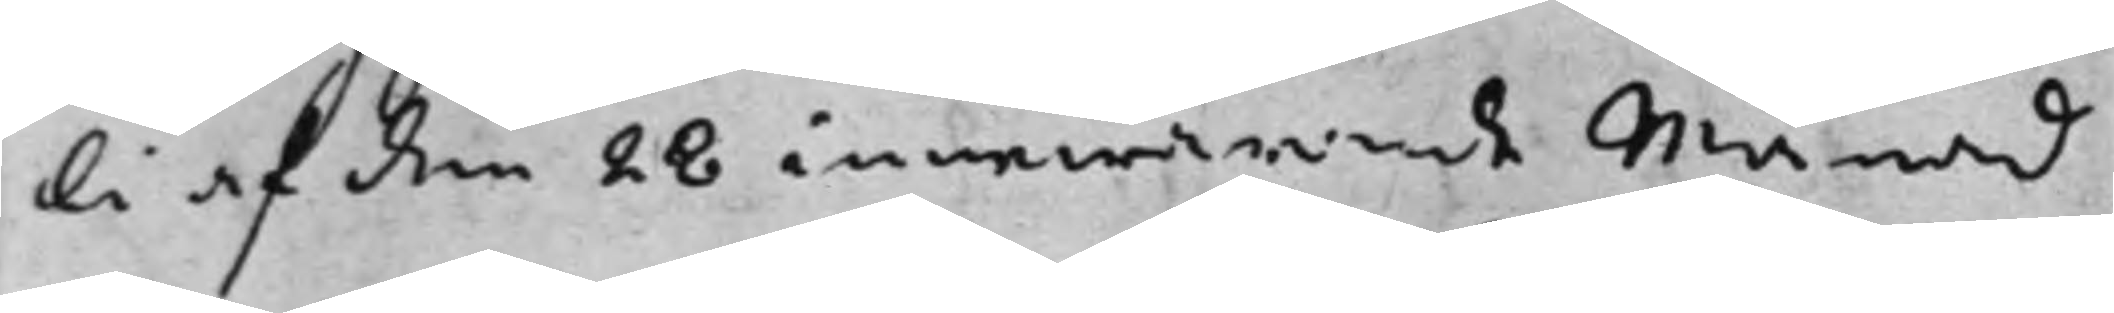li af den 28 innewarande månad
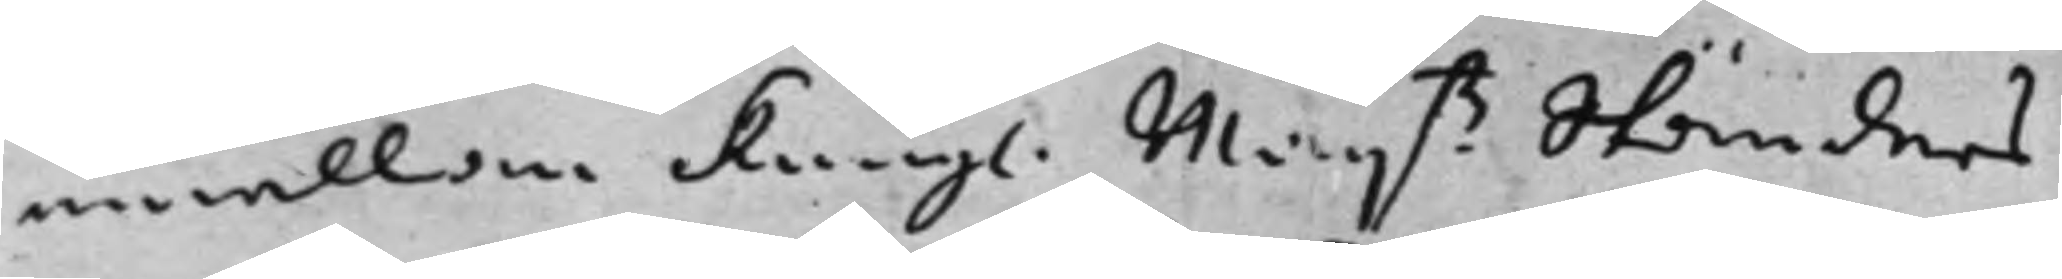emellan Kongl. Maijß. Ständers 
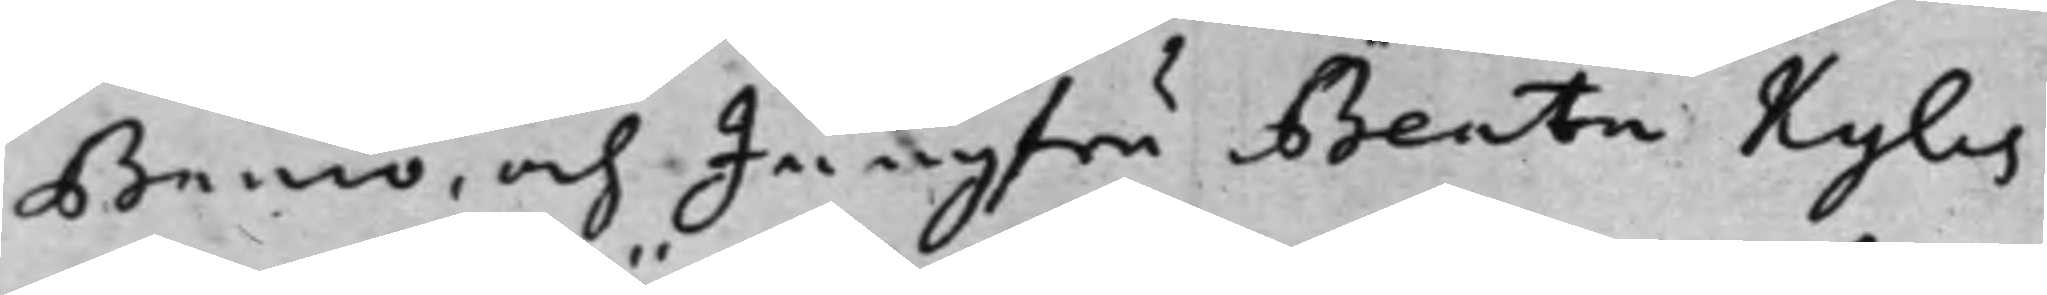Banco, och Jungfru Beata Kyles
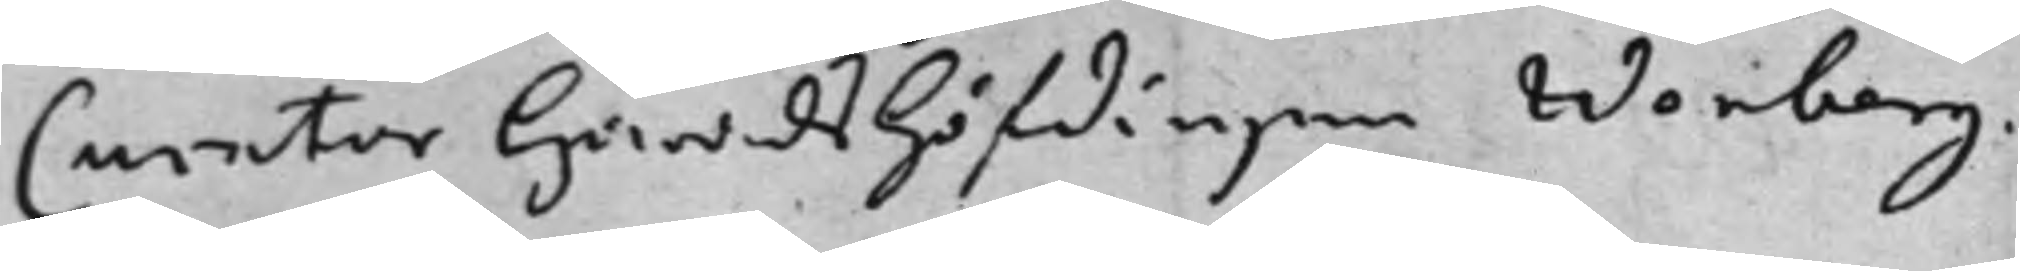Curator Häradshöfdingen Wenberg.
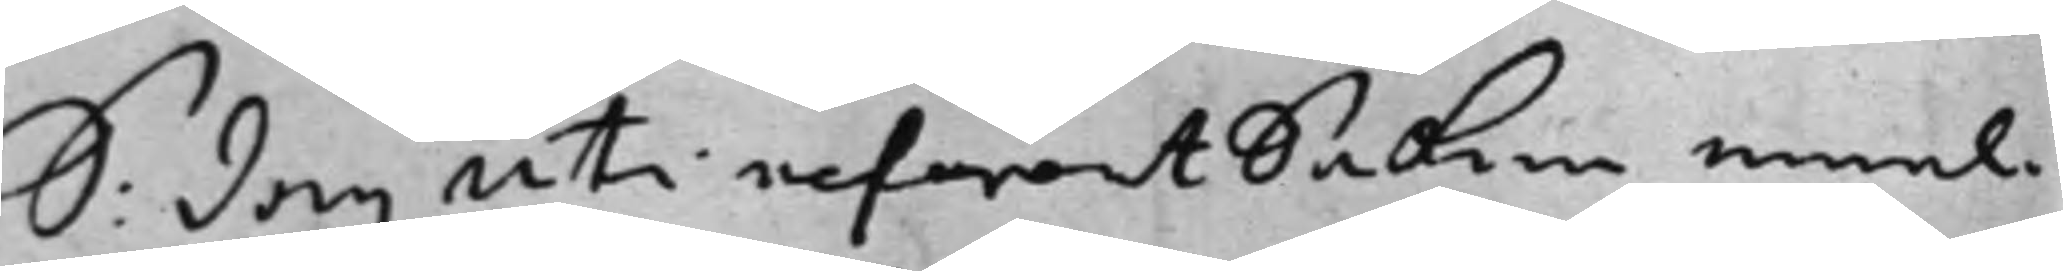S: dag uti referent Saken emel¬ 
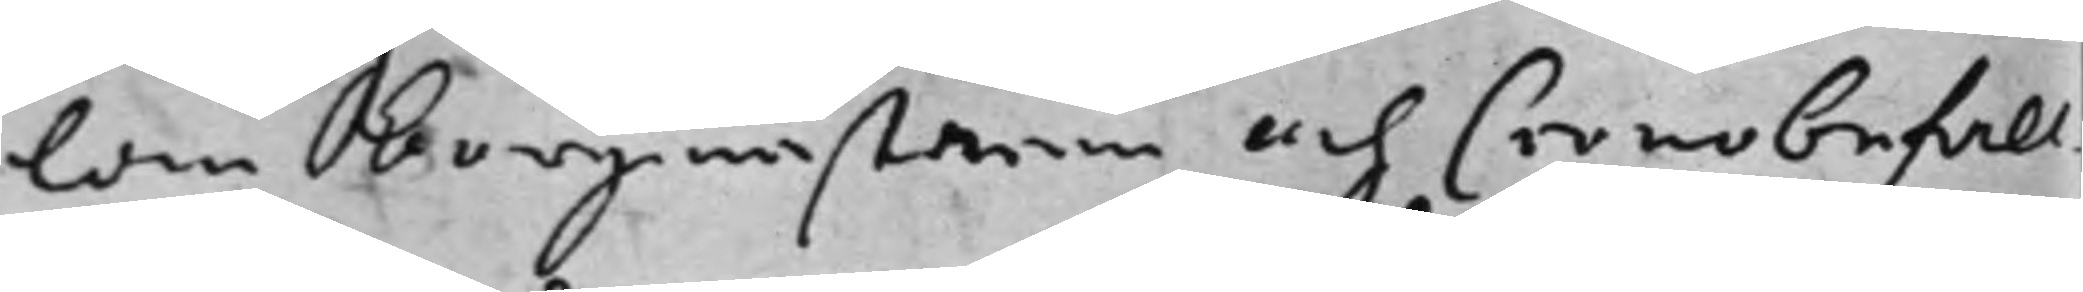lan Borgmästaren och Cronobefall¬
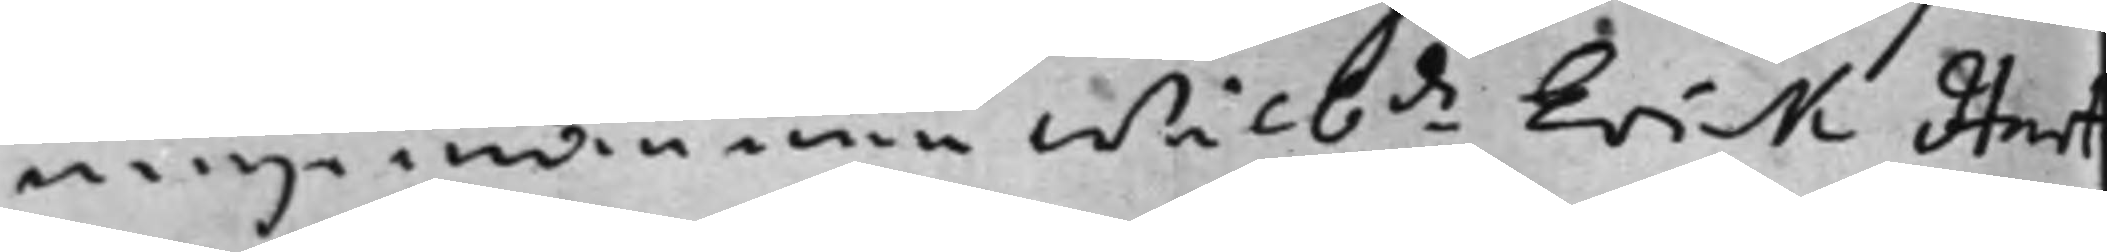ningsmannen Wälb:de Erick Hart ¬
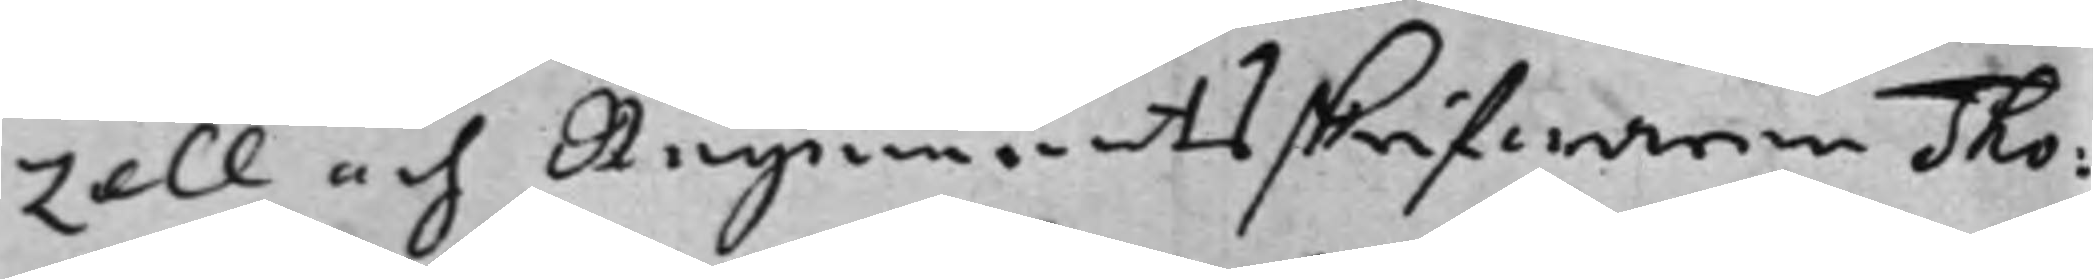zell och Regementsskrifwaren Tho¬
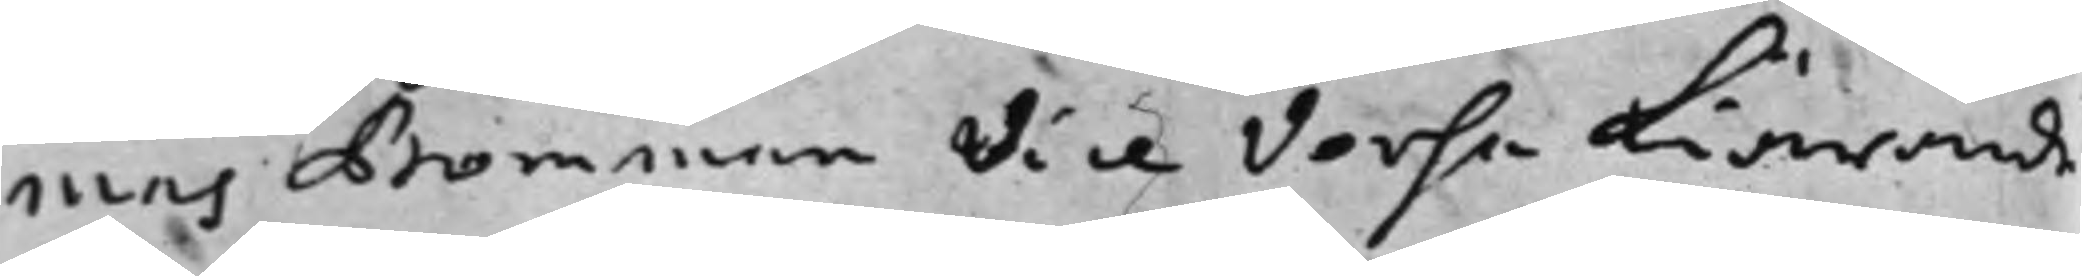mas Bomman Vice Versa kiärande
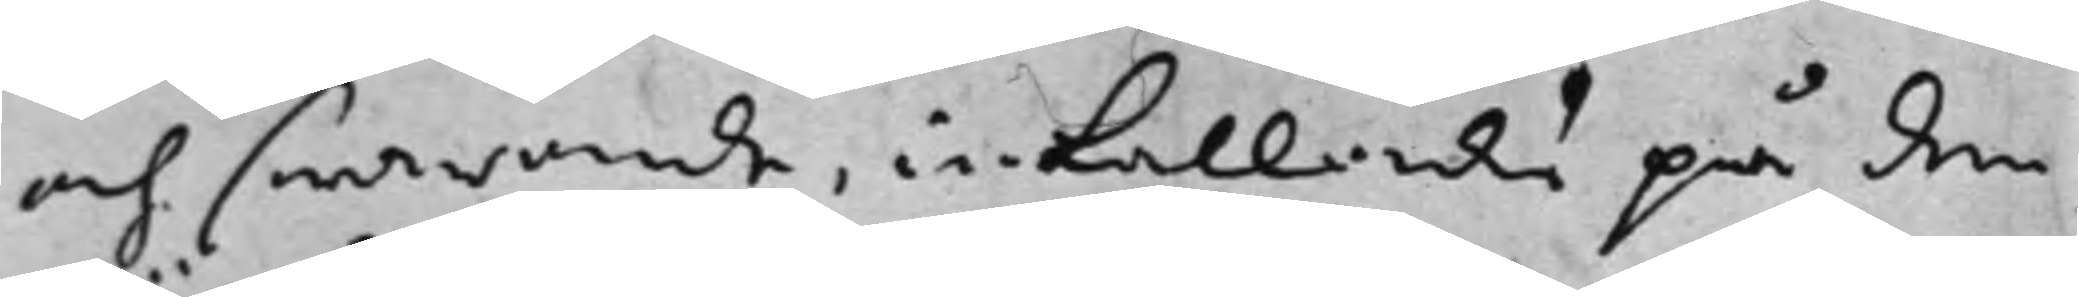och swarande, inkallande på den
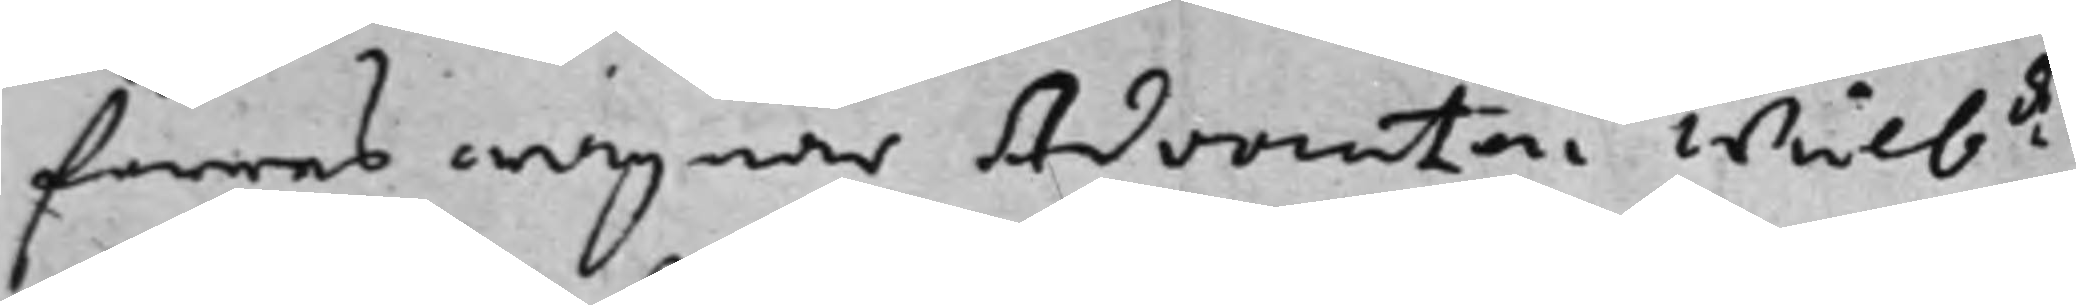förras wägnar Advocaten Wälb:de 
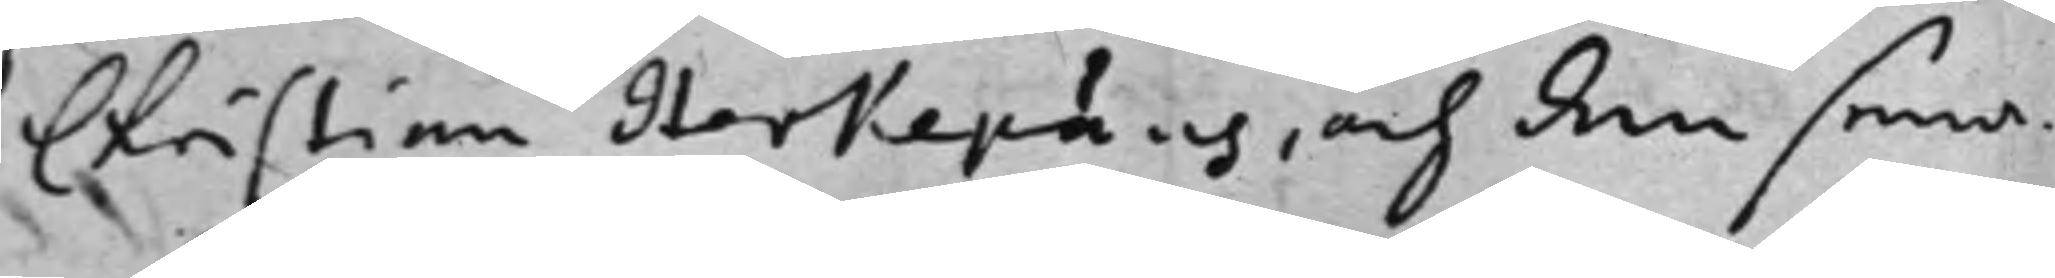Christian Herkepäus, och den sena¬
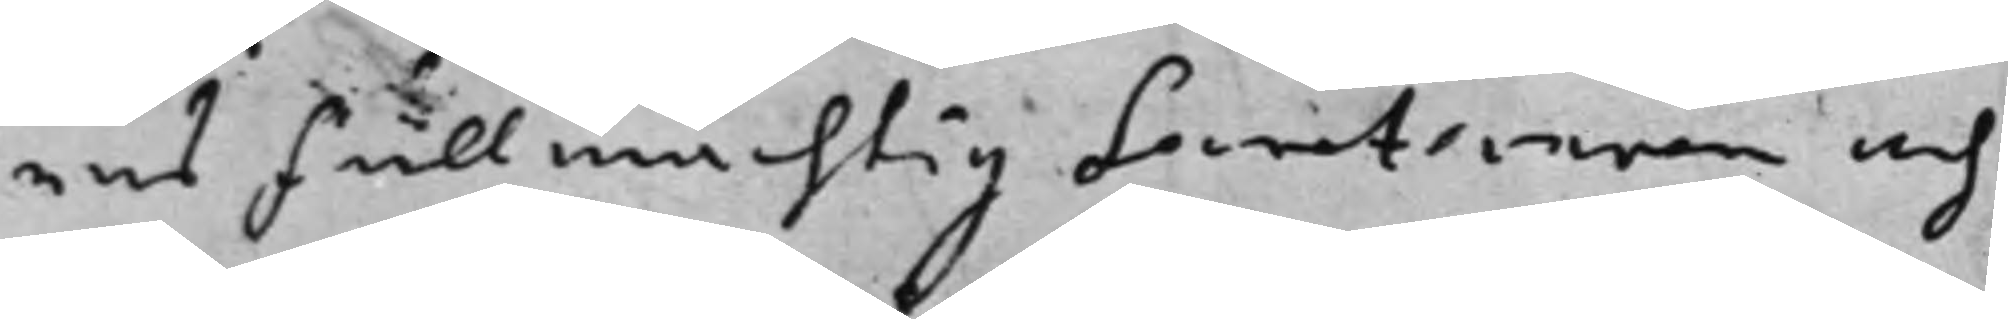res fullmächtig Secreteraren och
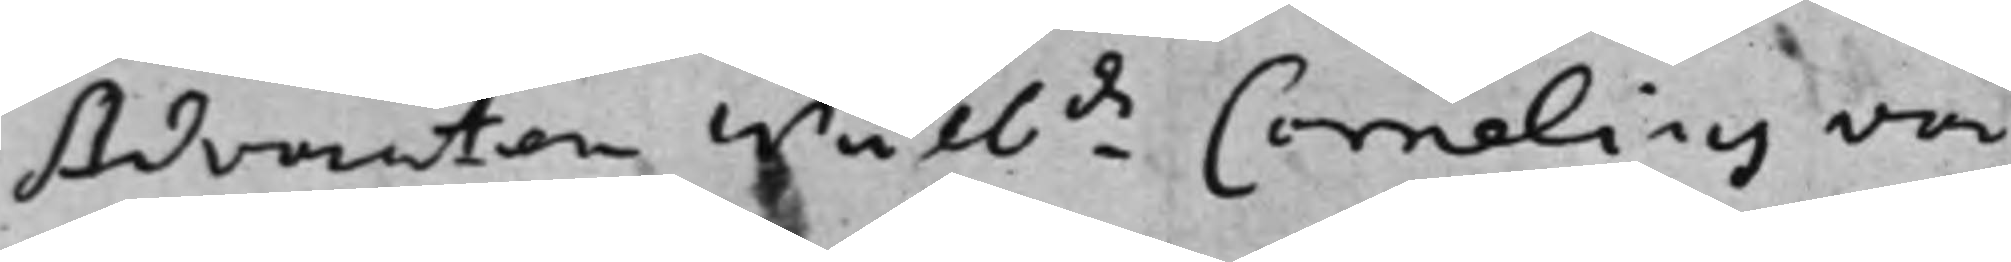Advocaten Wälb:de Cornelius von 
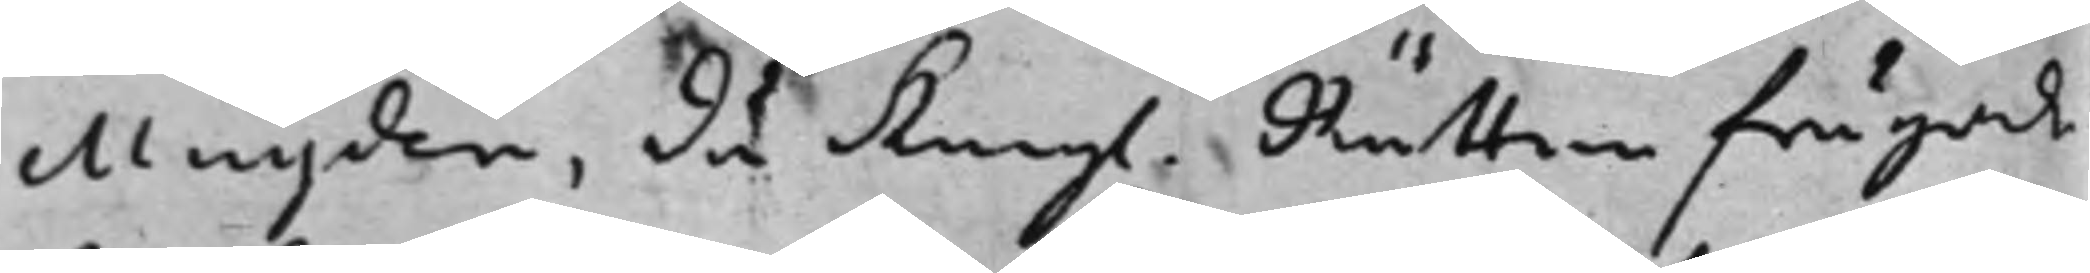Muyden, då Kongl. Rätten frågade 
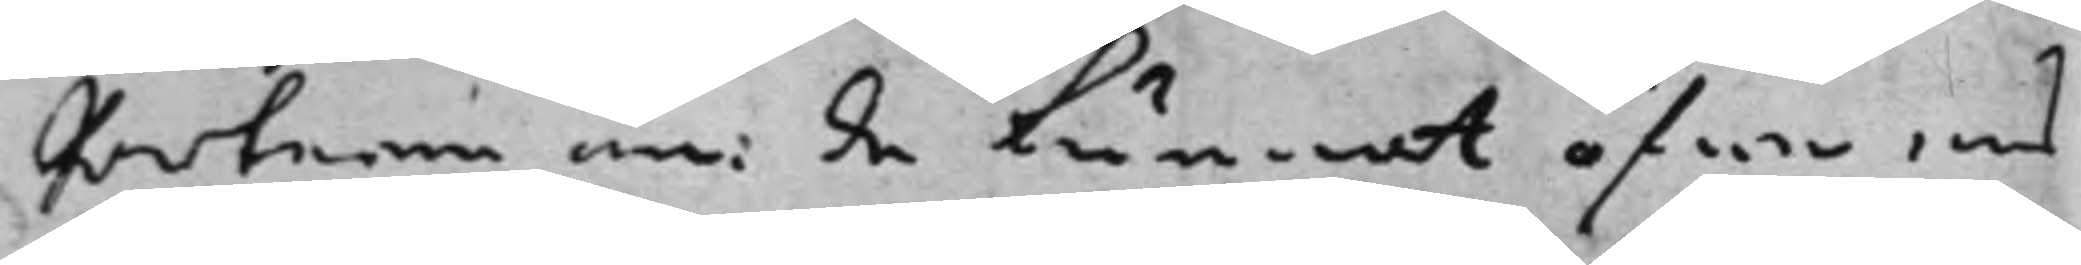Parterna om de kunnat öfwer ens
